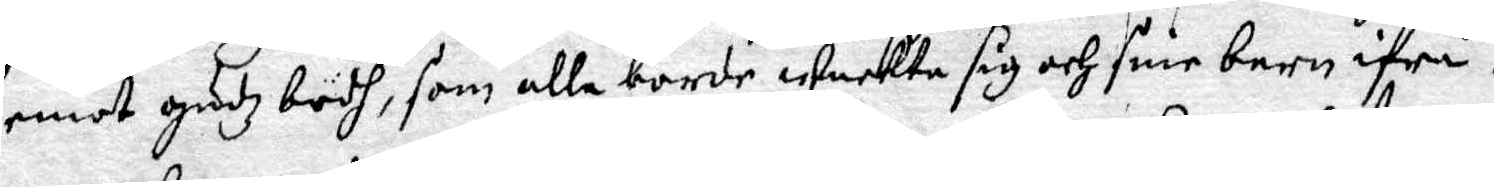emot gudz budh, som alla borde wackta sig och sine barn ifrå.
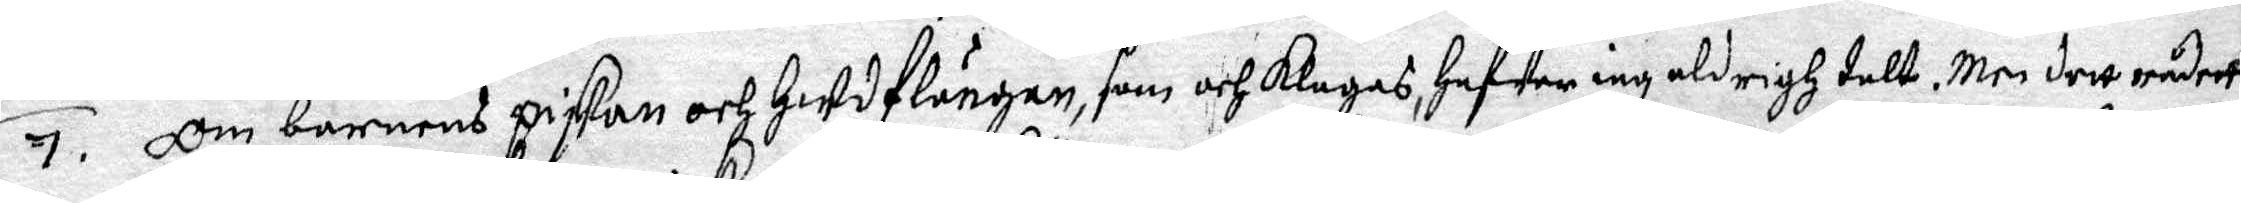7. Om barnens piskan och Hudflängan, som och klagas, hafwer iag aldrigh talt. Men dett rådett
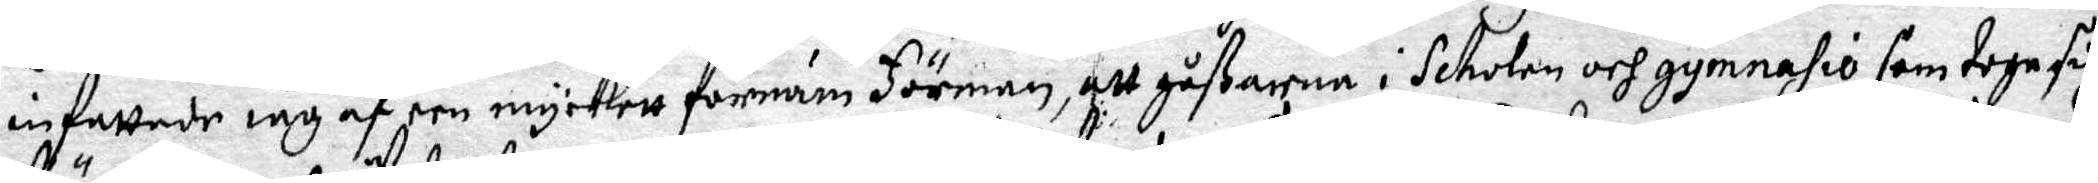infattade iag af een myckett förnäm Förman, att gåßarna i Scholen och gymnasio som toge sig
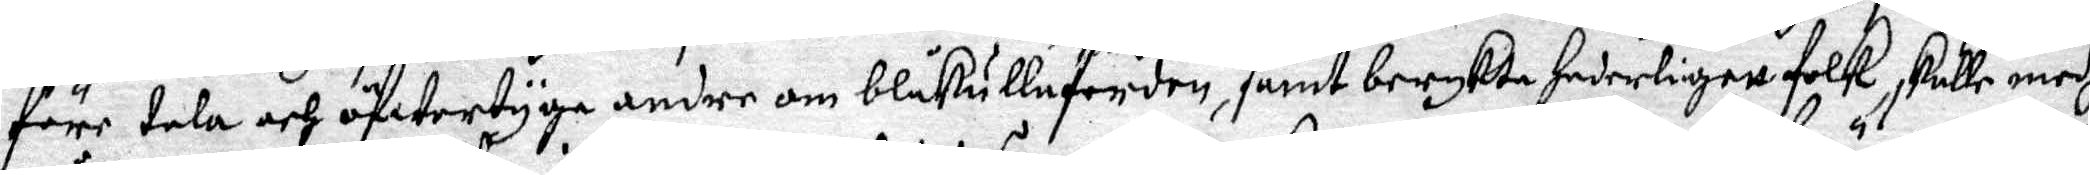före tala och öfwertyga andre om blåkullaferden, samt berykta hederligett folk, skulle medh
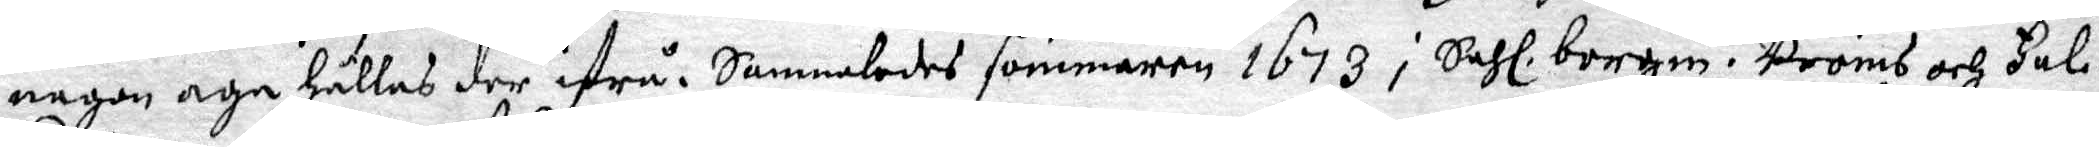någon age hållas der ifrå. Sammaledes sommaren 1673 i Sahl. borgm. Bröms och Fal¬
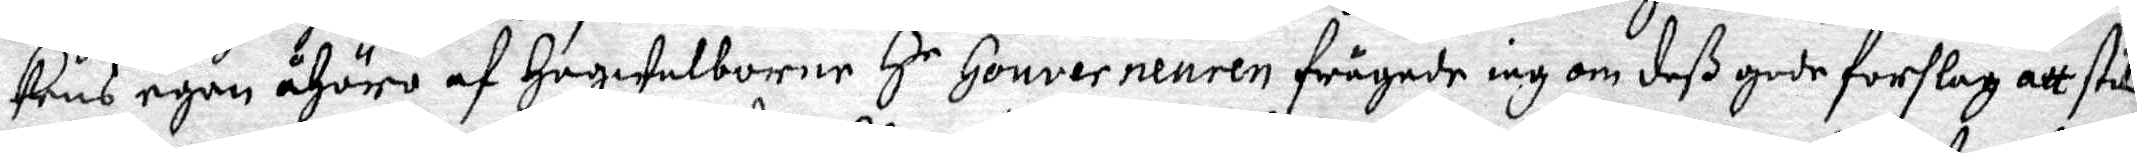kens egen åhöro af Högwelborne H.r Gouverneuren frågade iag om deß gode förslag att stil¬
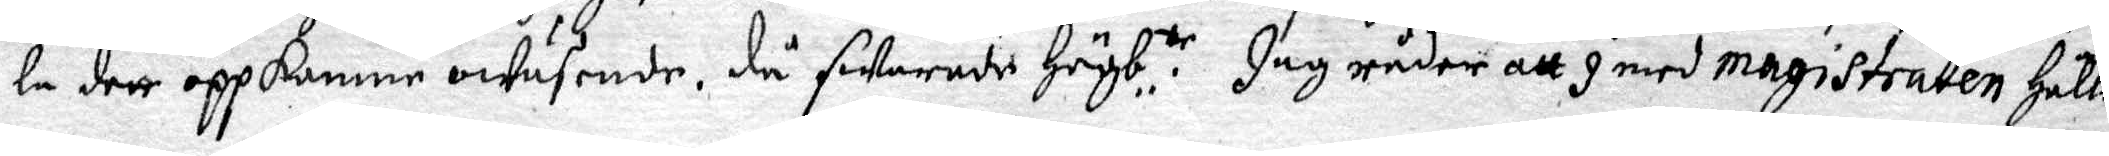la dert oppkomne owäsende, då swarade Högb:te. Jag råder att I med magistraten hålla
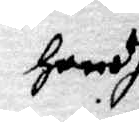handh
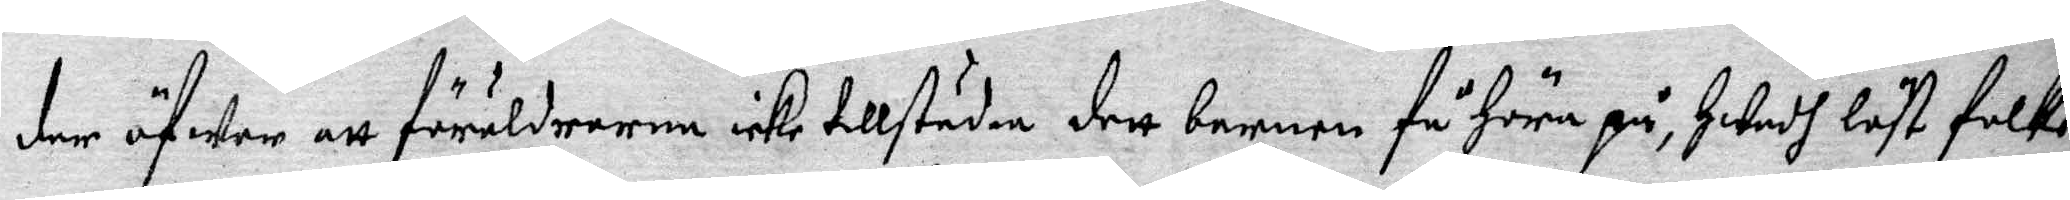der öfwer att föräldrarna icke tillstäden, dett barnen få höra på, Hwadh löst folk
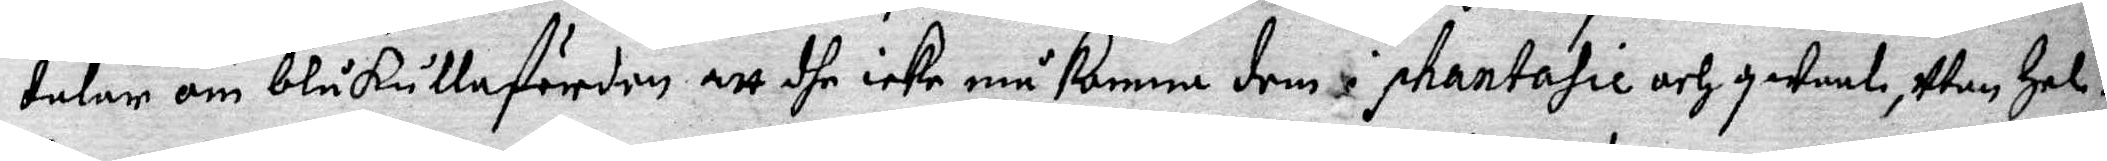talar om blåkullafärden att dhe icke må komma dem i pantasie och qwaal, Utan Hel¬
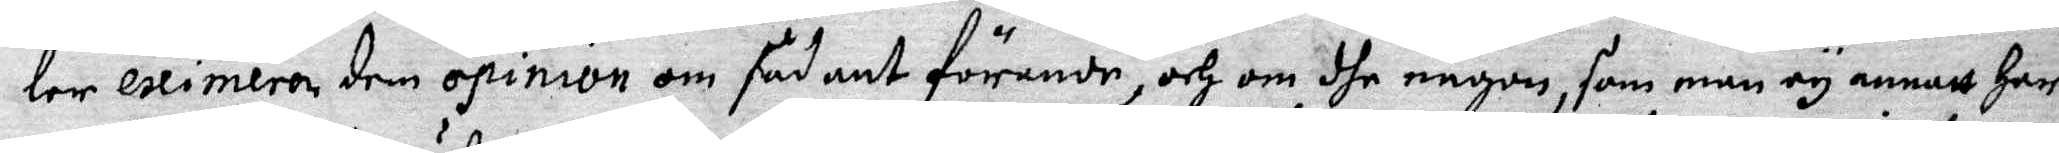ler eximera den opinion om sådant förande, och om dhe någon, som man ey annatt har
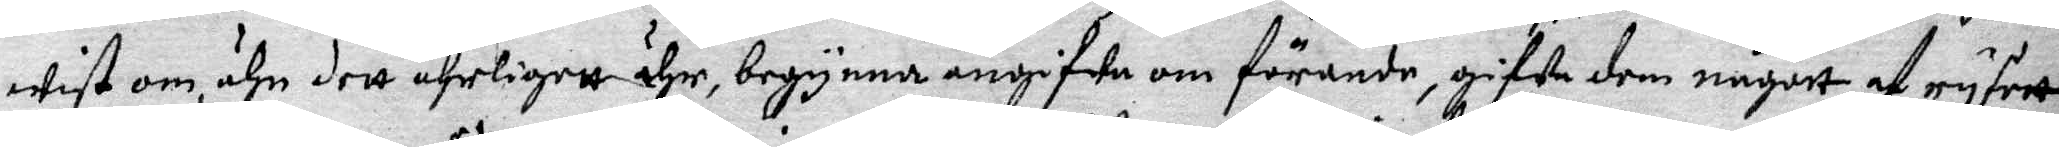wist om, ähn dett ährligett ähr, begynna angifwa om förande, gifwa dem någott af ryseet.
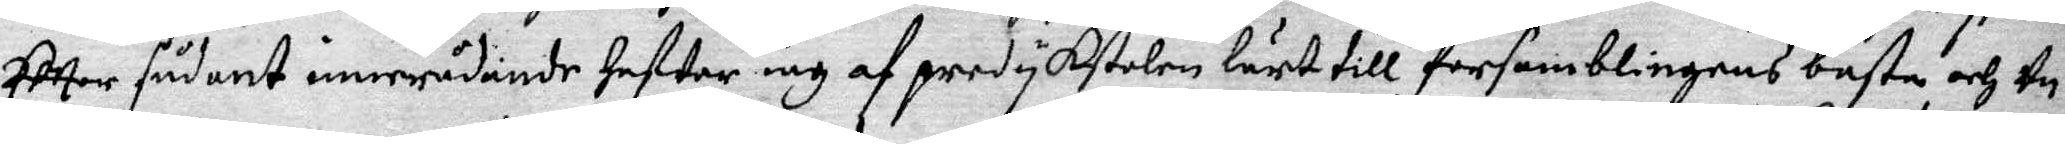Effter sådant innerådande hafwer iag af predykstolen lärt till församblingens bästa och Un¬
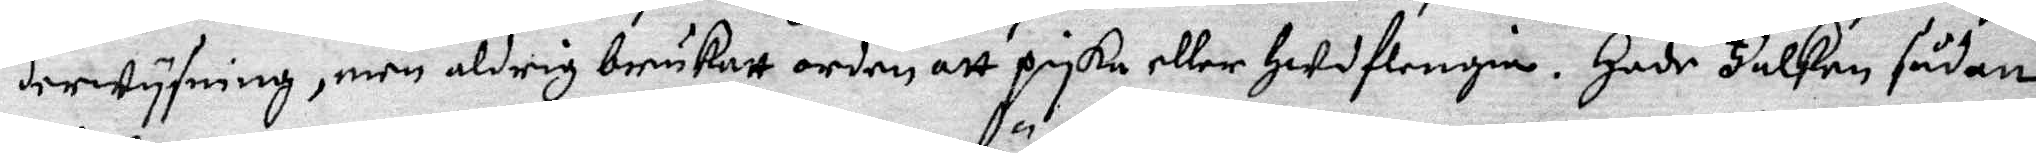derwysning, men aldrig brukatt orden att pyska eller Hudflengia. Hade Falken sådan
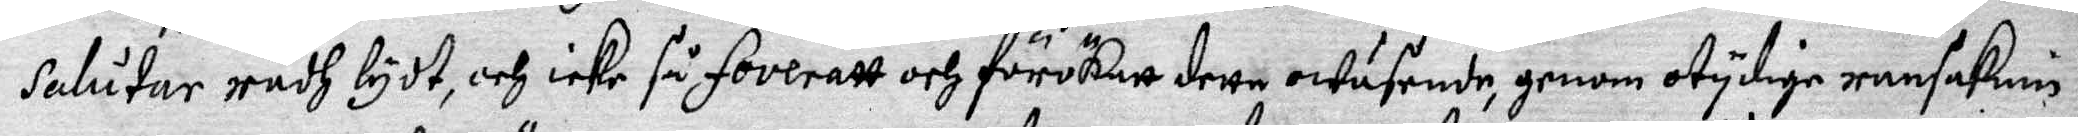salutar rådh lydt, och icke så foveratt och förökatt detta owäsende, genom otydige ransaknin¬
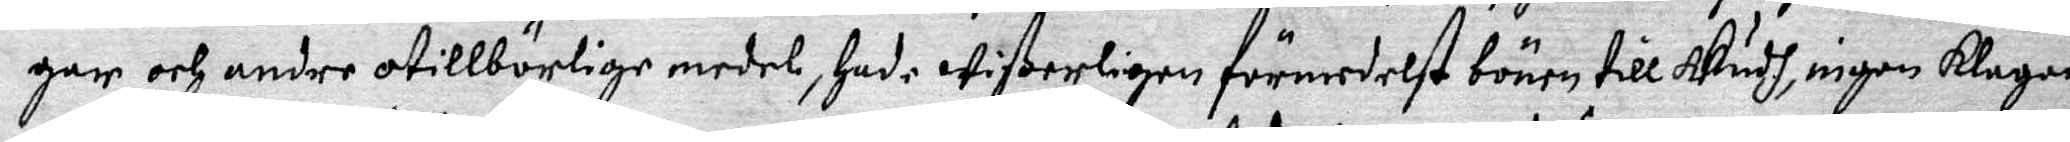gar och andre otillbörlige medel, hade wißerligen förmedelst bönen till Gudh, ingen klagan
